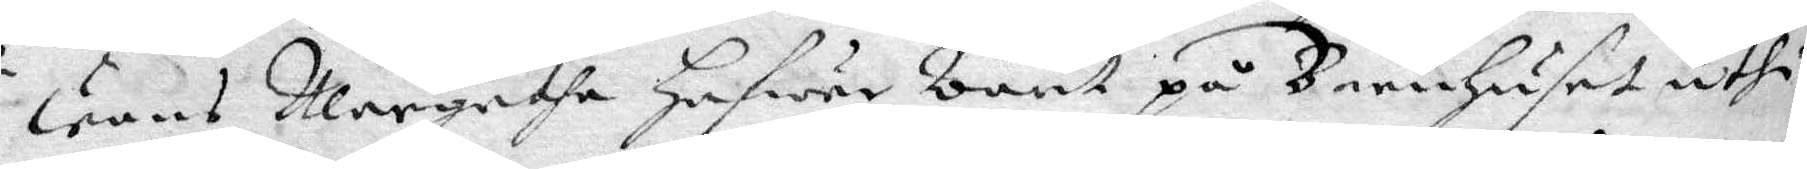wans Margeta hafwer warit på Barnhuset uthi
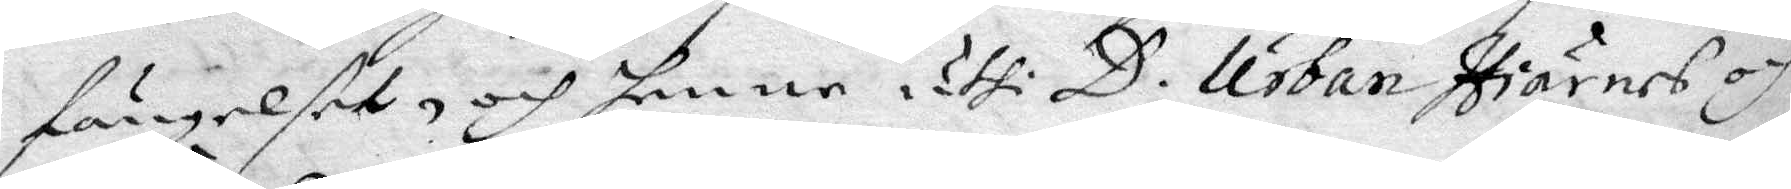fängelsett, och henne uthi D. Urban Hiärnes och
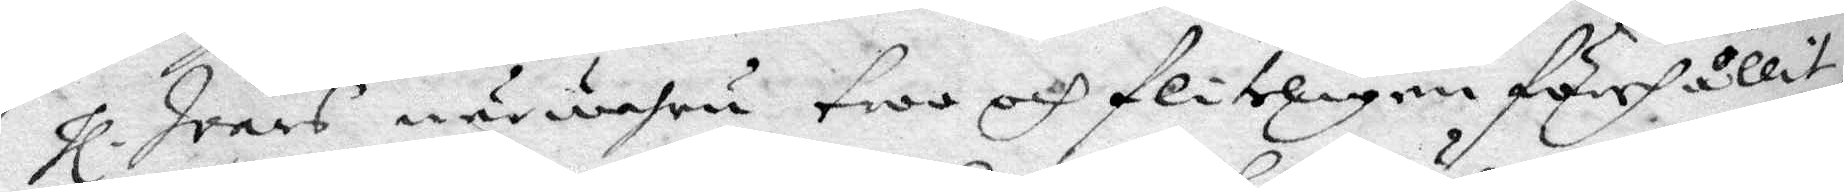hl. Ivars bärwahru troo och flitigen förehållit
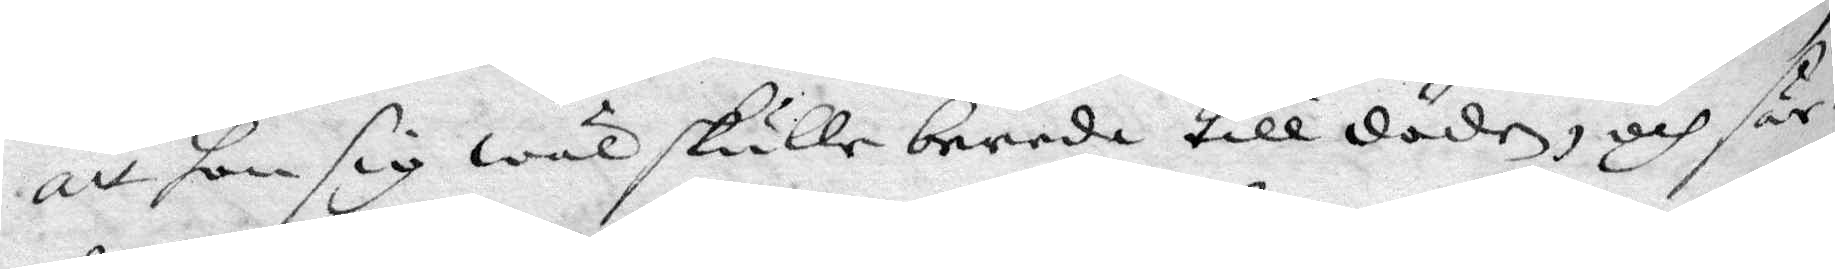att hon sig wäl skulle bereda till döden, och sär¬
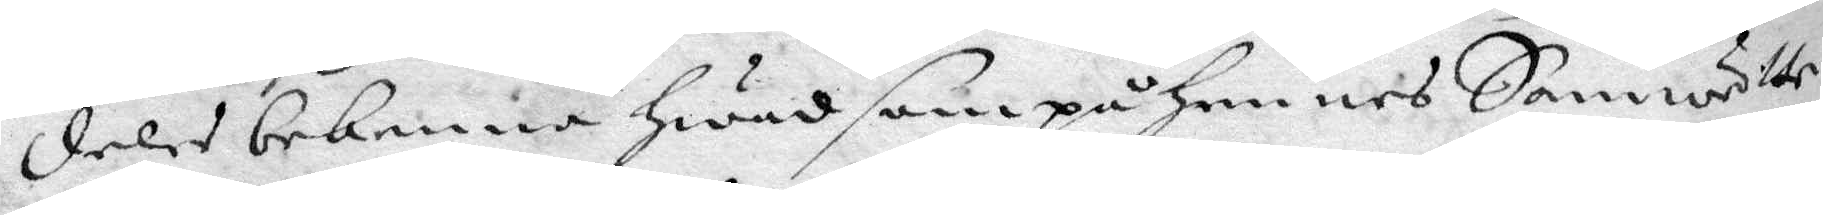deles bekenna hwad som på hennes Samwette
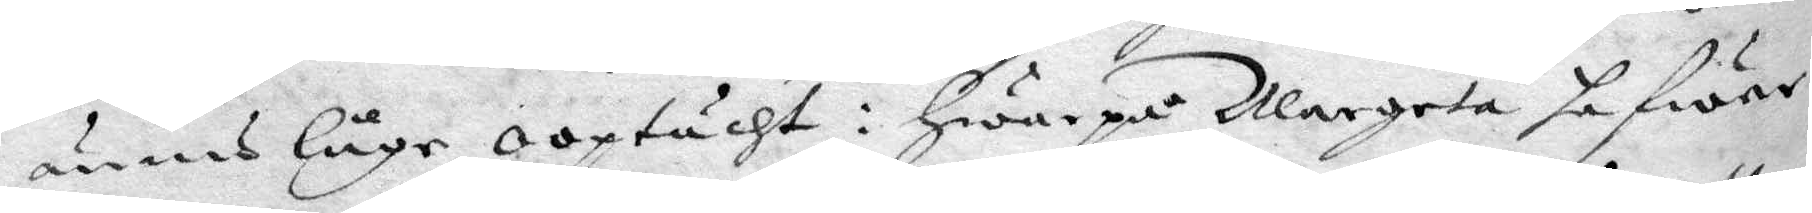ännu låge ooptächt: härepå Margeta hafwer
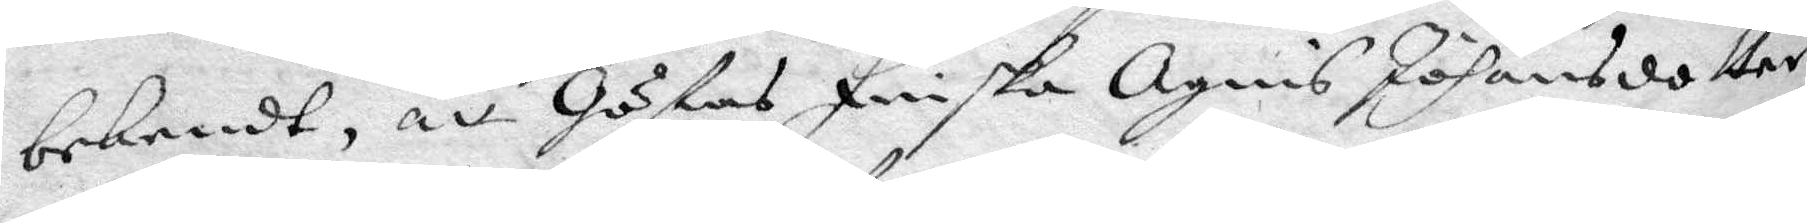bekendt, att Göstas Finska Agnis Johansdotter
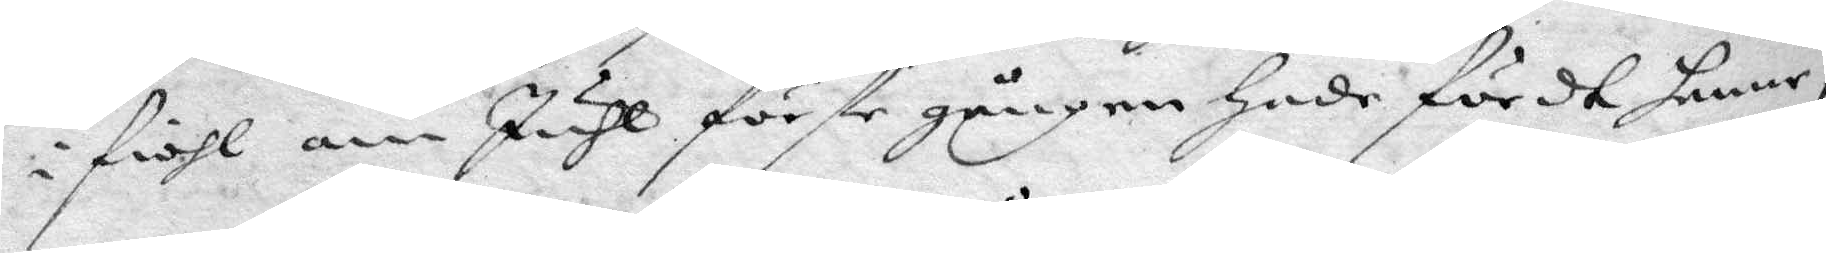i fiol om Juhl förste gången hade fördt henne,
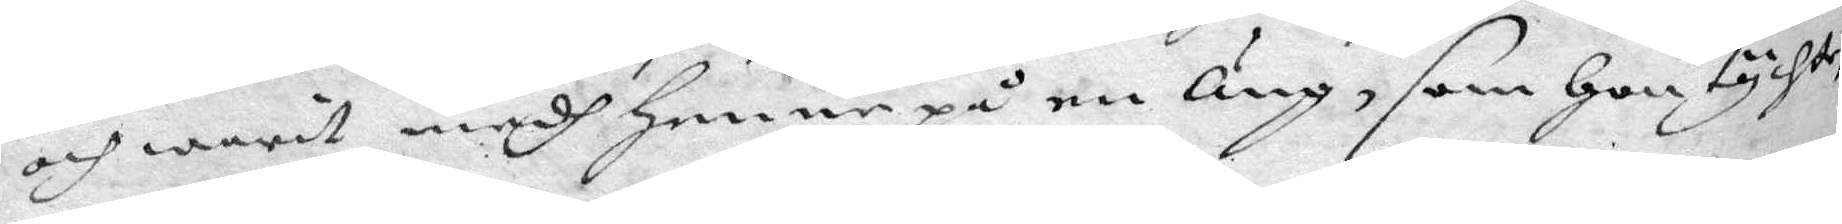och warit medh henne på en Äng, som hon tychte,
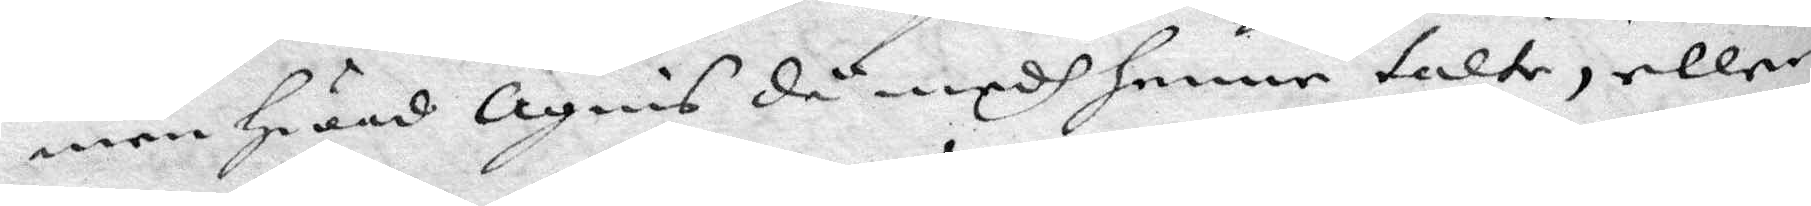men hwad Agnis då medh henne talte, eller
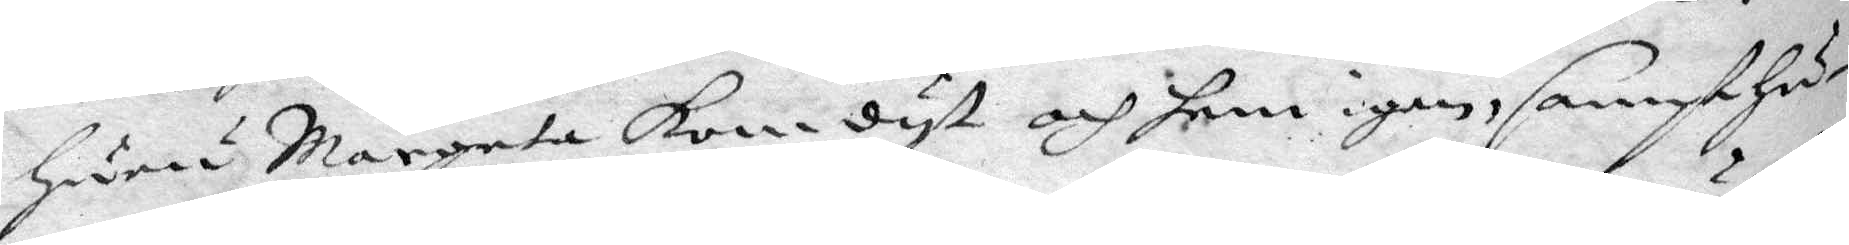huru Margeta kom dyt och hem igen, sampt hu¬
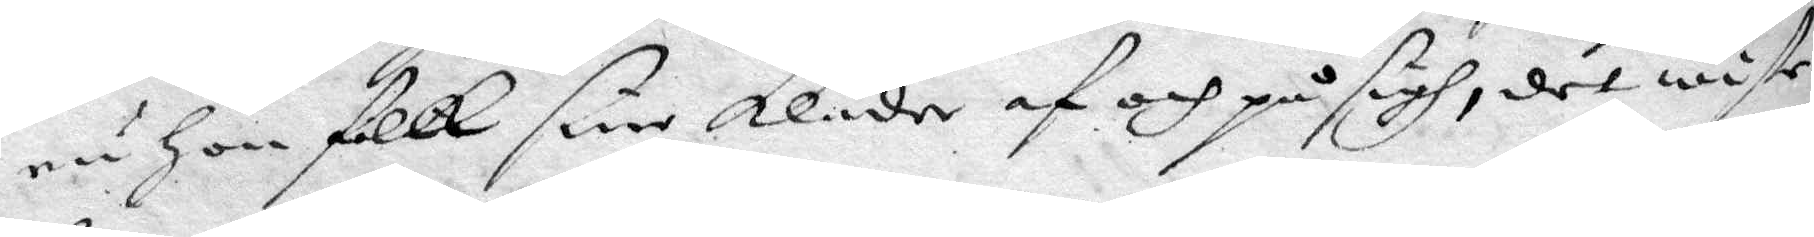ru hon fickk sine kläder af och på sigh, det wiste
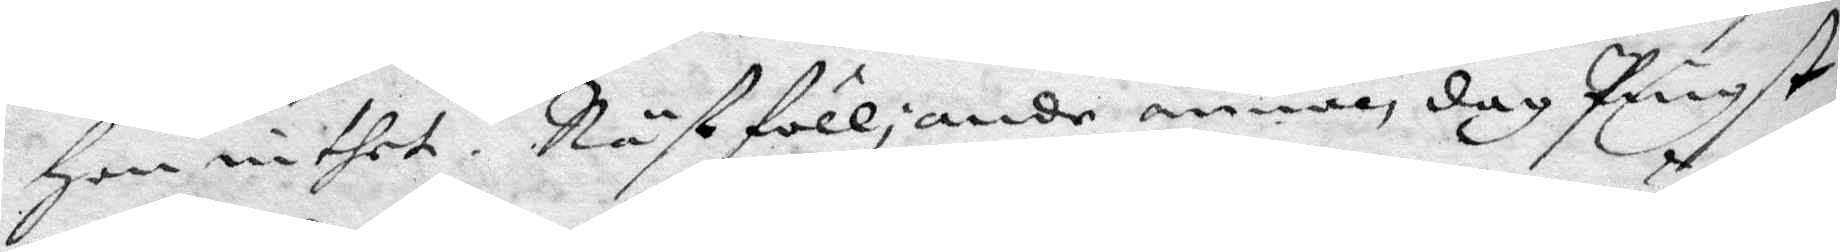hon inthet. Nästfölljande annan dag Pingst,
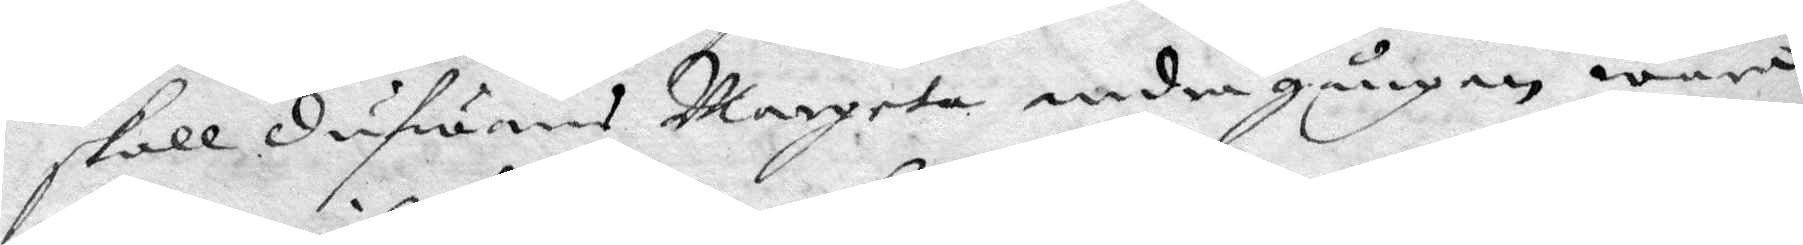skall Dufwans Margeta andre gången wara
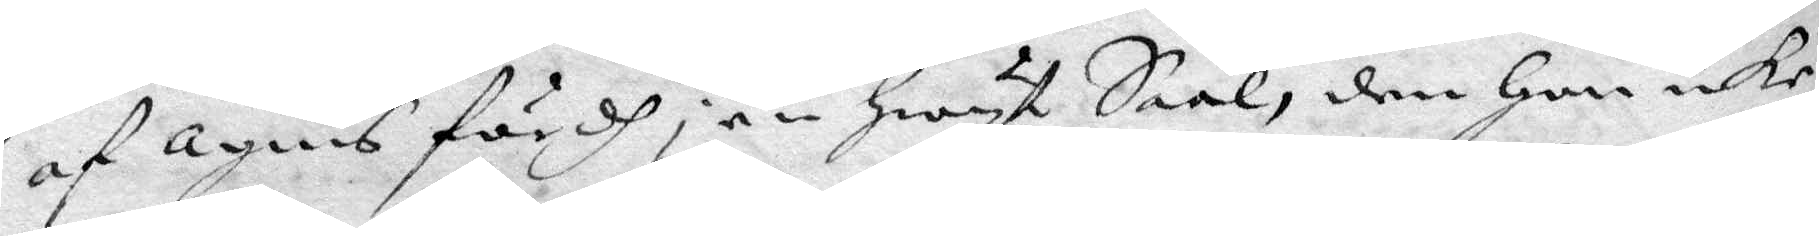af Agnis fördh, en hwyt Saal, den hon icke
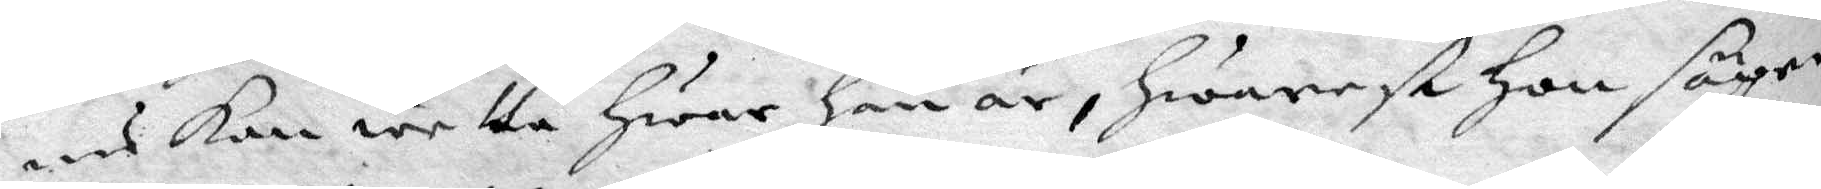ens kan wetta hwar han är, hwarest hon säger
